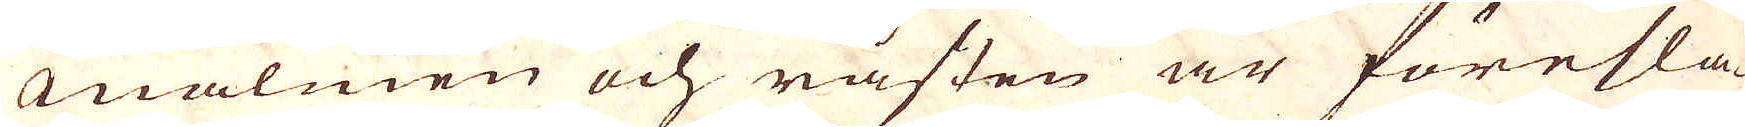Malmen och råsten är föresla-
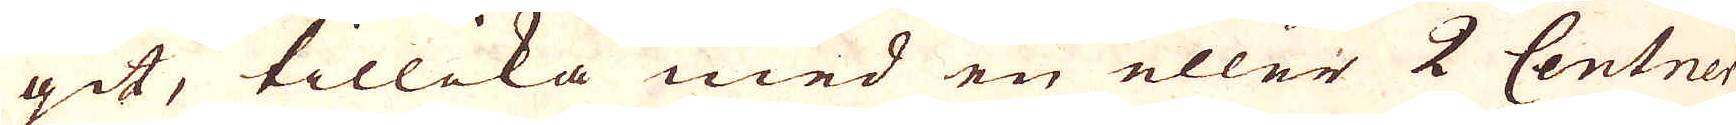git, tillika med en eller 2 Centner
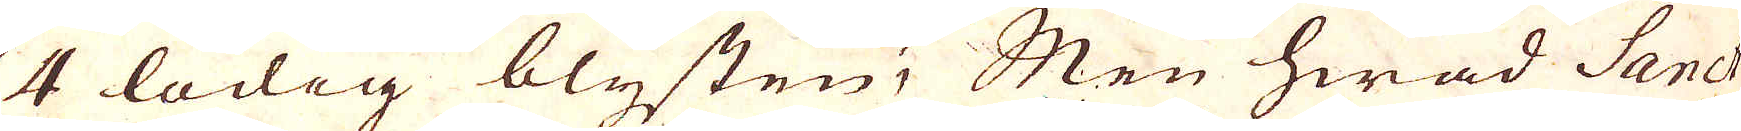4 lödig blysten; Men hwad Sanct
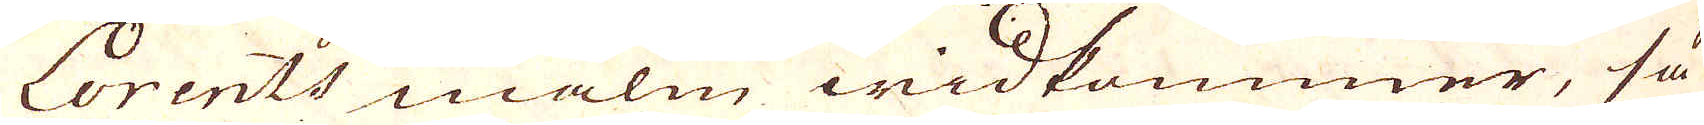Lorents malm widkommer, så
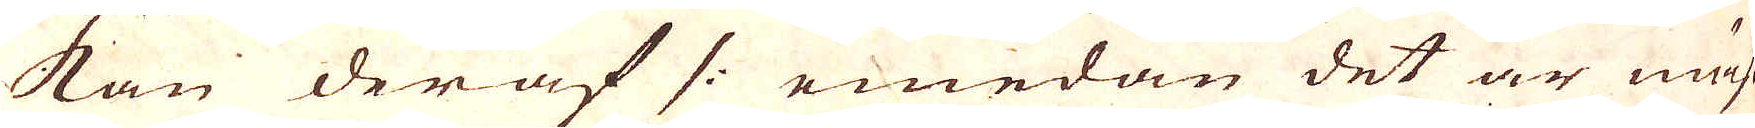kan der af /: emedan det är mäst
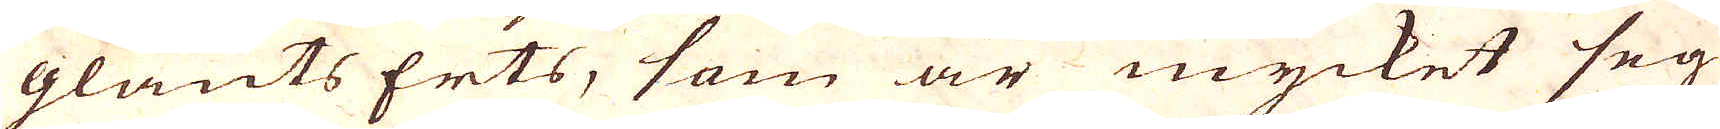glants Erts, som är mycket seg
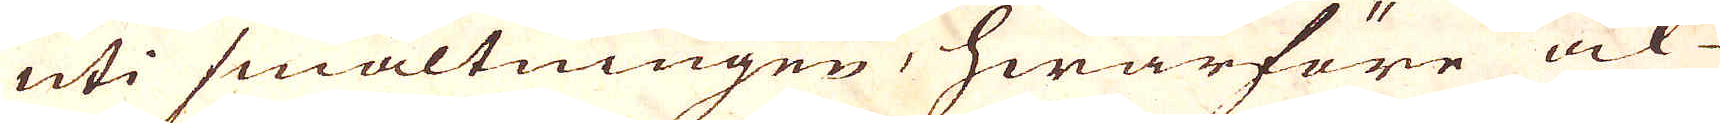uti smältningen, hwarföre ock
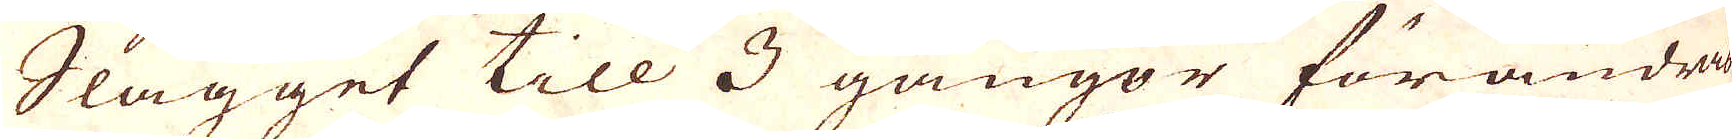Slagget till 3 gångor förandras
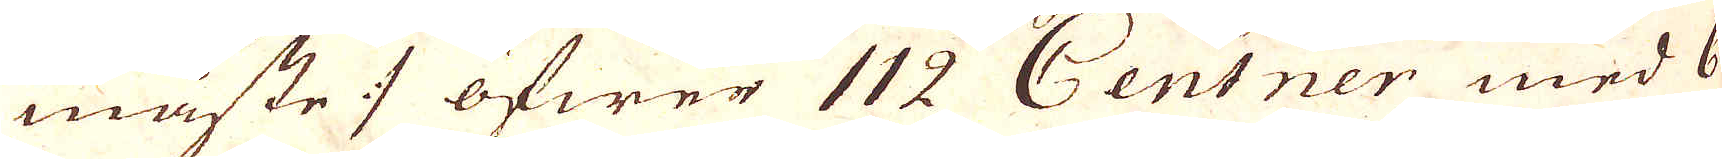måste :/ öfwer 112 Centner med 6
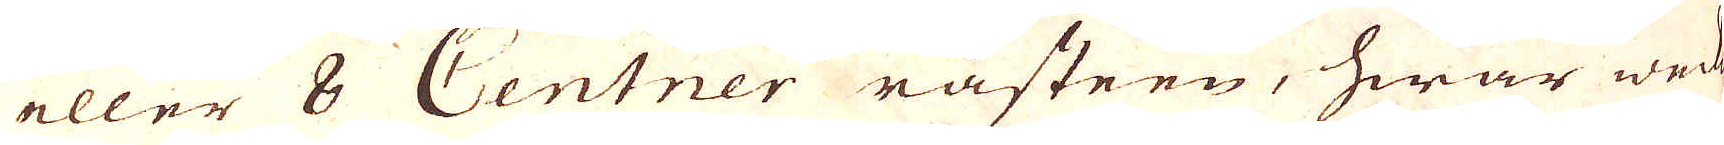eller 8 Centner råsteen, hwar wed
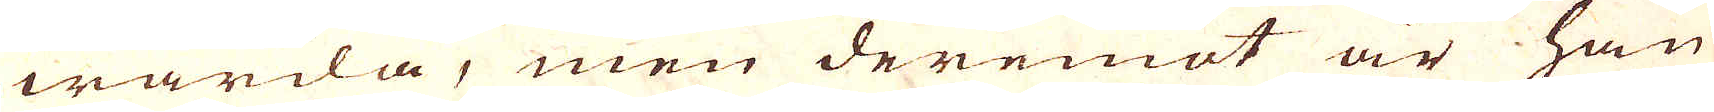warda, men deremot är han
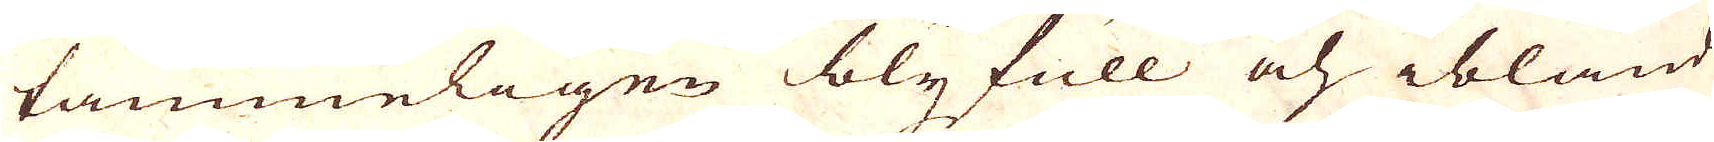tämmeligen bly full och ibland
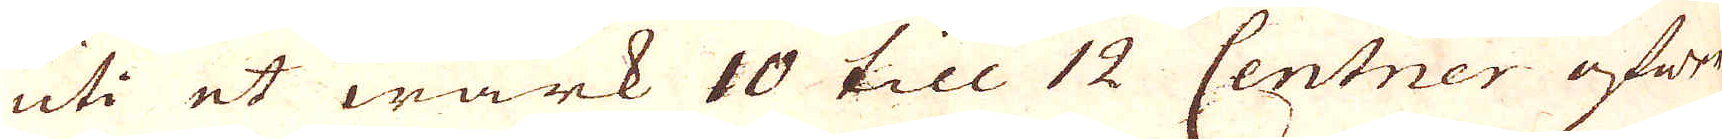uti et wärk 10 till 1 2 Centner öfwer
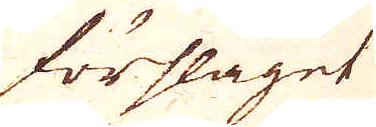förslaget
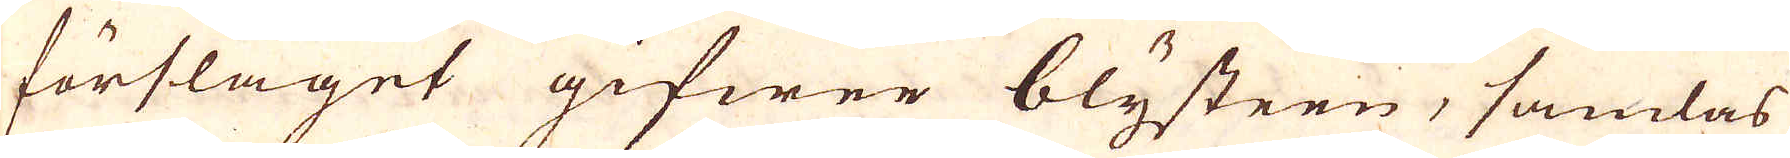förslaget gifwer blysteen, samlas
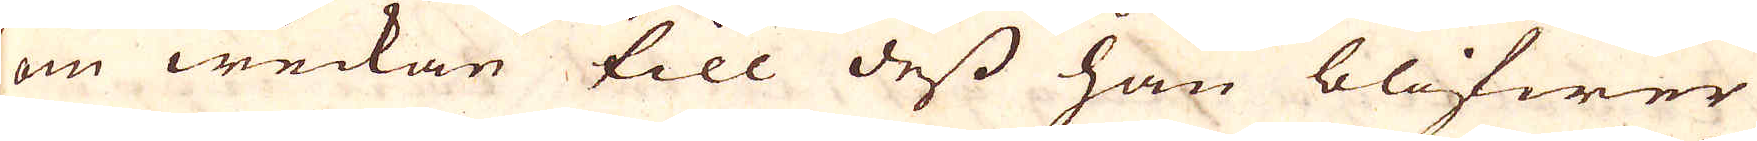om weckan till dess han blifwer
